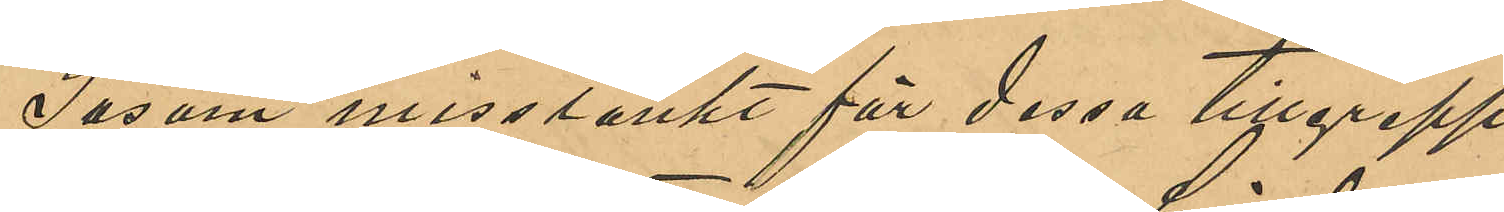Såsom misstänkt för dessa tillgrepp
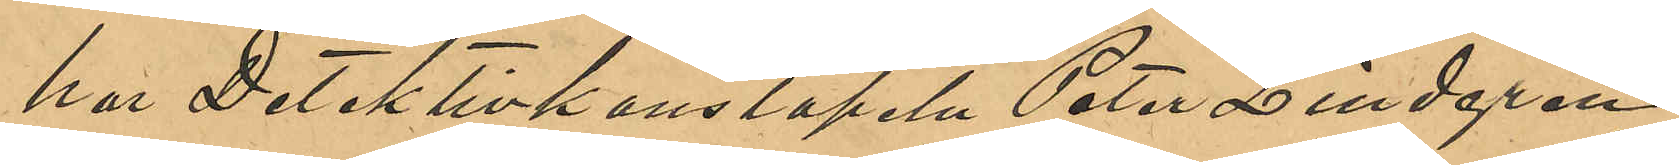har Detektivkonstapeln Peter Lindgren
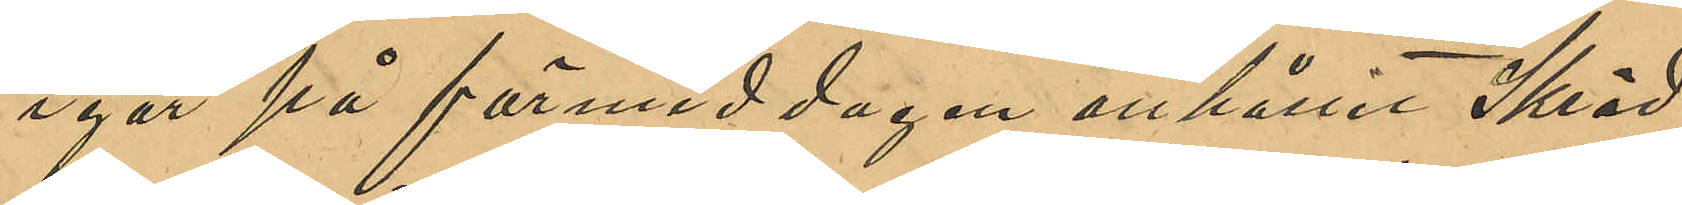igår på förmiddagen anhållit Skräd¬
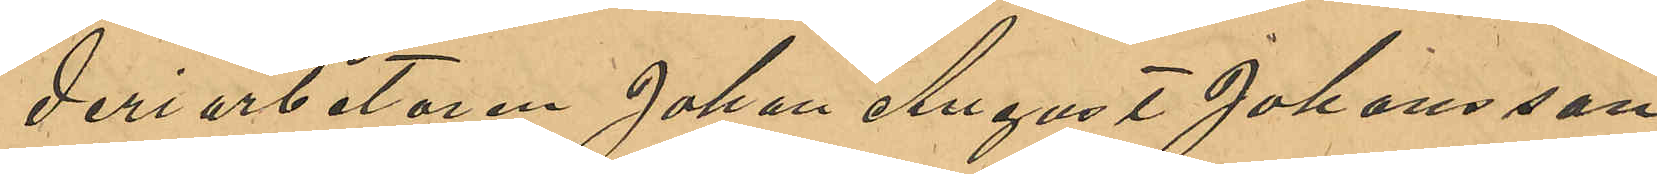deriarbetaren Johan August Johansson,
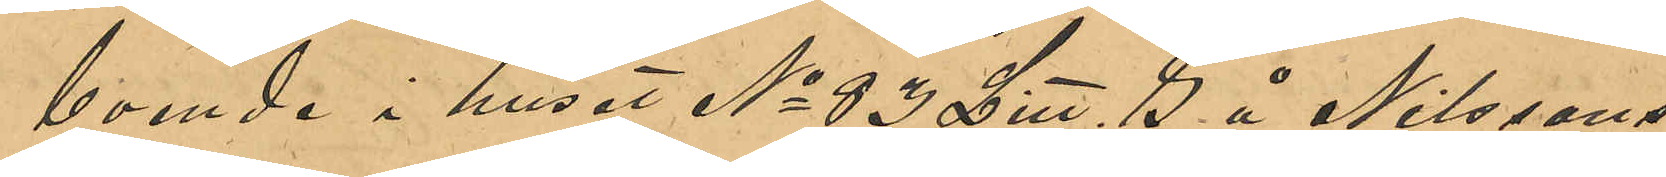boende i huset No 83 Litt. G å Nilssons¬
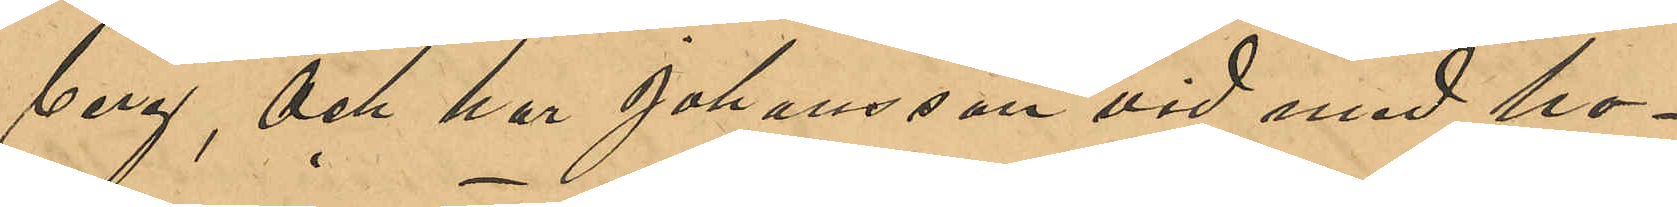berg, och har Johansson vid med ho¬
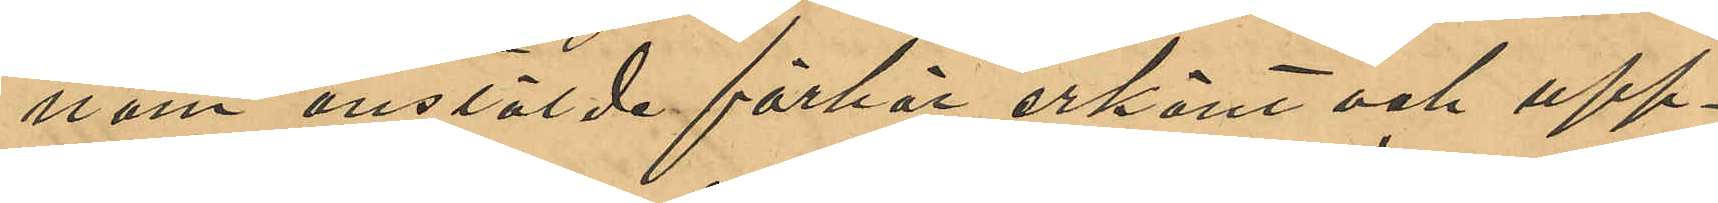nom anstälde förhör erkänt och upp¬
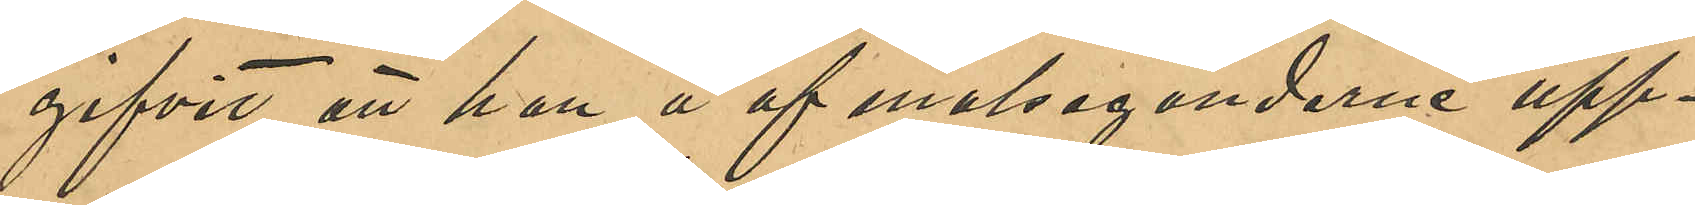gifvit att han å af målsegandene upp¬
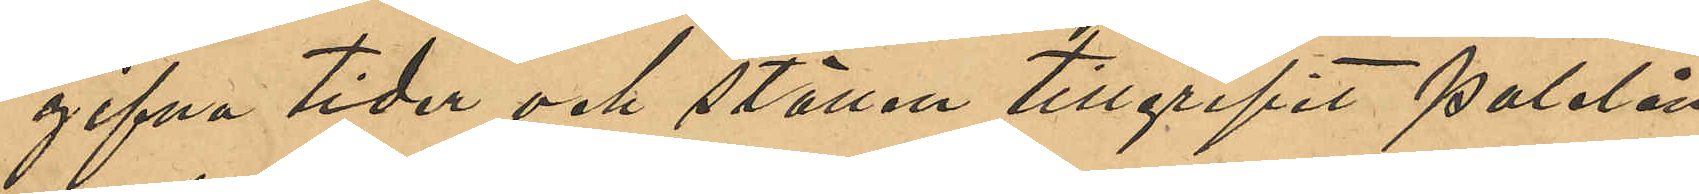gifna tider och ställen tillgripit paletån
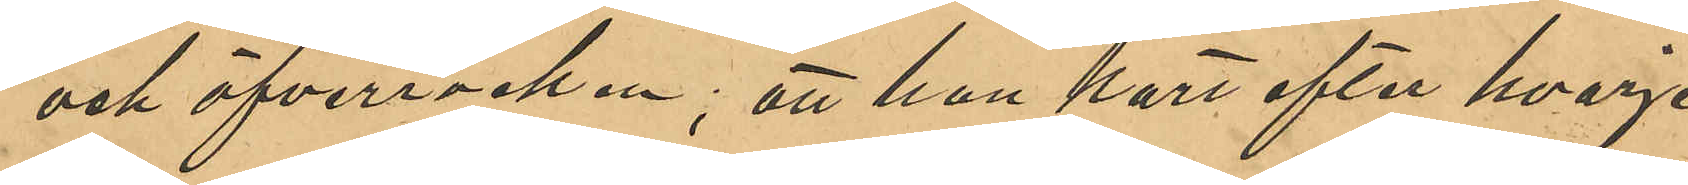och öfverrocken; att han kort efter hvarje
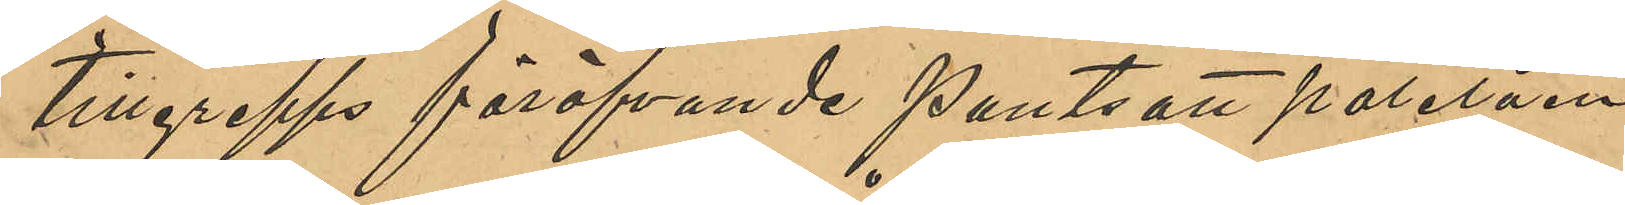tillgrepps föröfvande pantsatt paletån
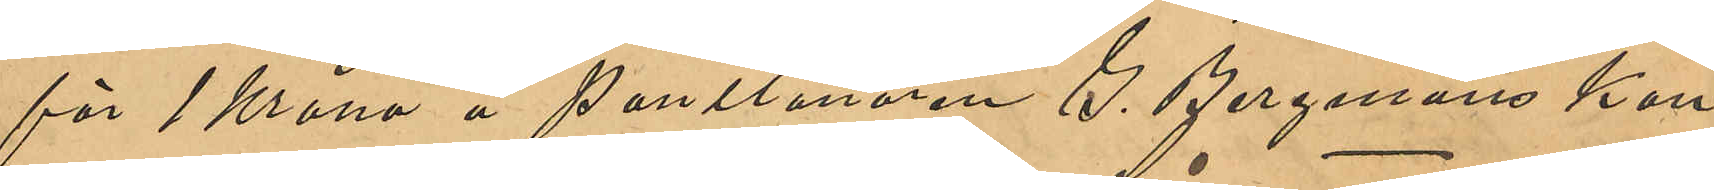för 1 Krona å Pantlånaren G. Bergmans kon¬
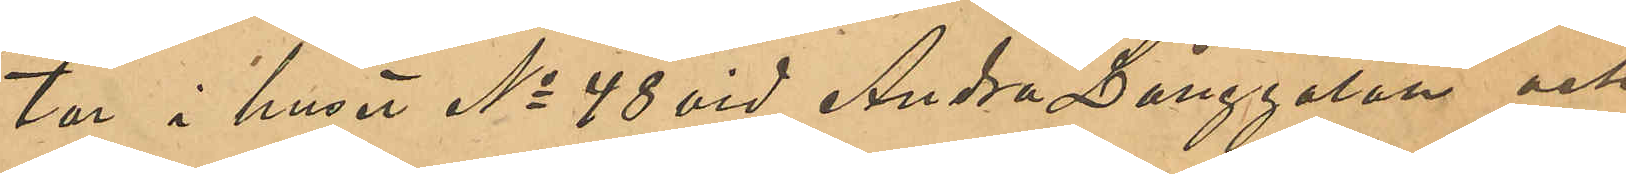tor i huset No 48 vid Andra Långgatan och
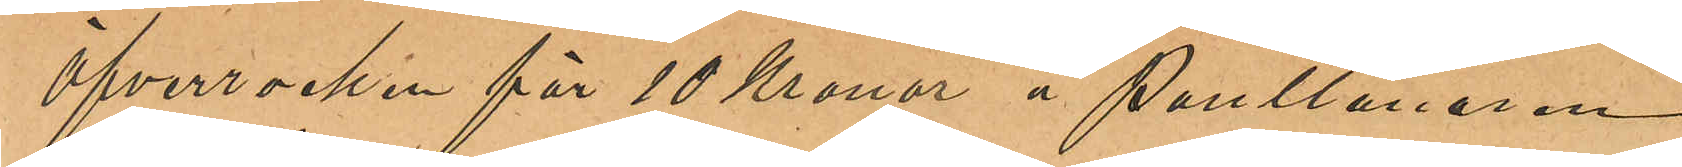öfverrocken för 10 Kronor å Pantlånaren
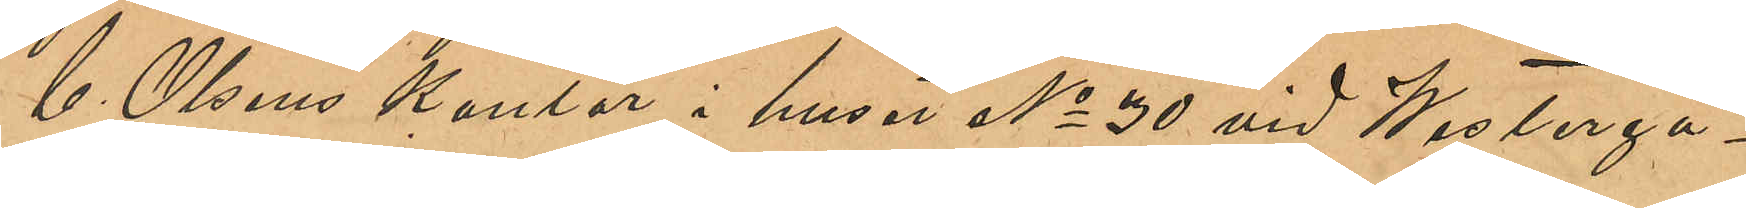C. Olséns kontor i huset No 30 vid Westerga¬
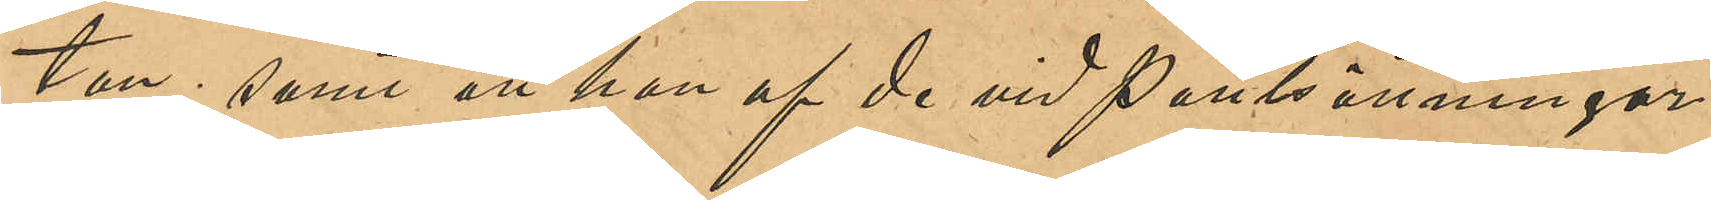tan; samt att han af de vid Pantsättningar¬
